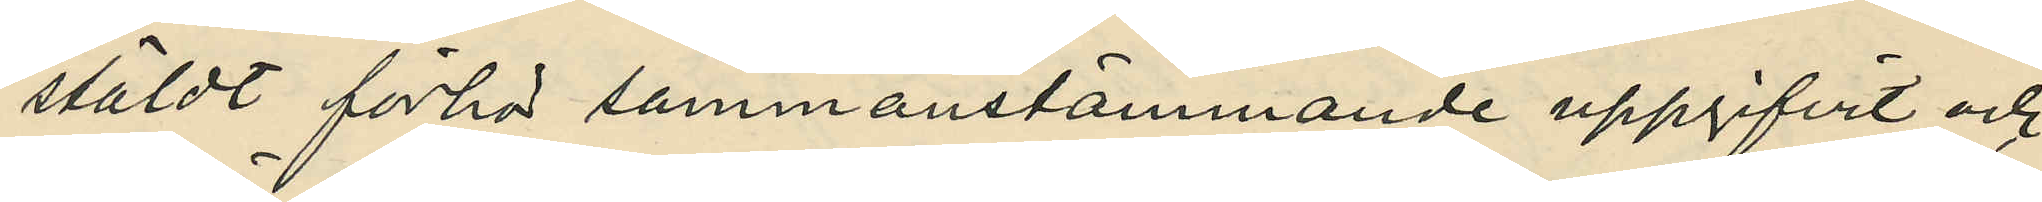stäldt förhör sammanstämmande uppgifvit och
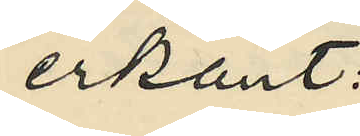erkänt:
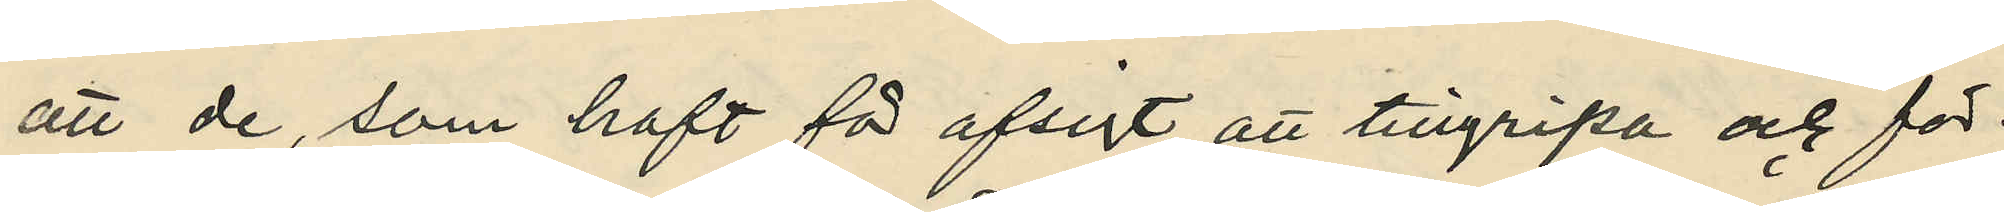att de, som haft för avsigt att tillgripa och för¬
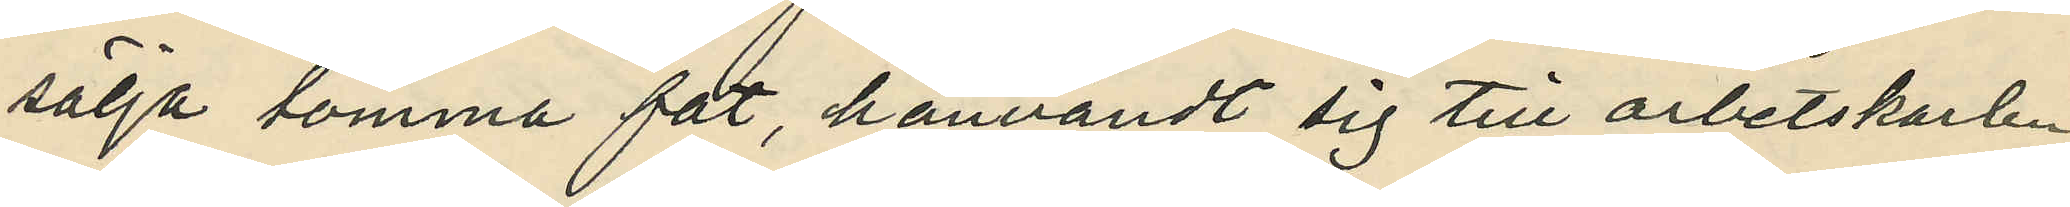sälja tomma fat, hänvändt sig till arbetskarlen
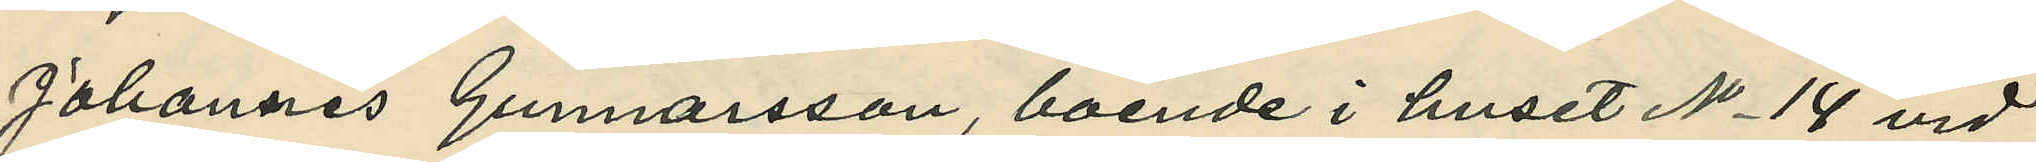Johannes Gunnarsson, boende i huset No 14 vid
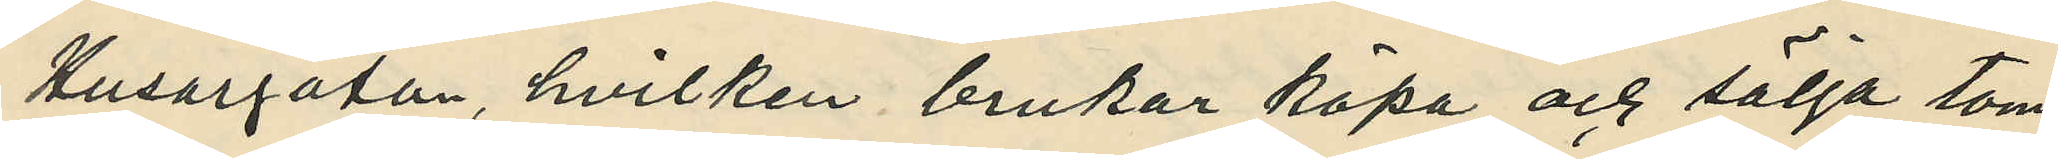Husargatan, hvilken brukar köpa och sälja tom¬
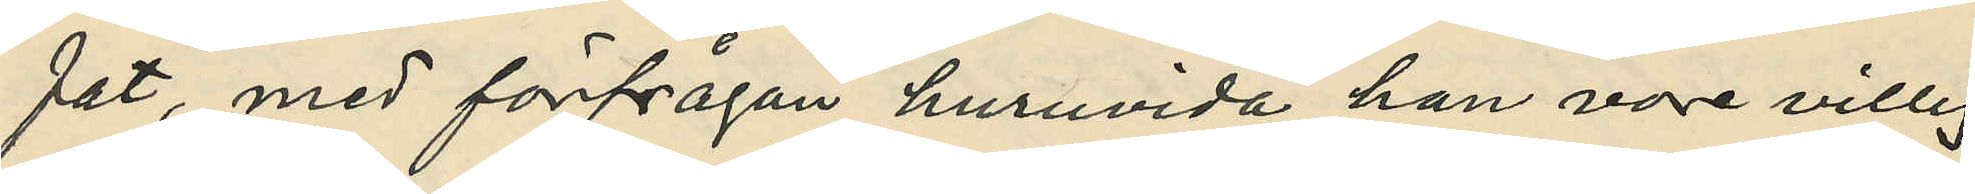fat, med förfrågan huruvida han vore villig
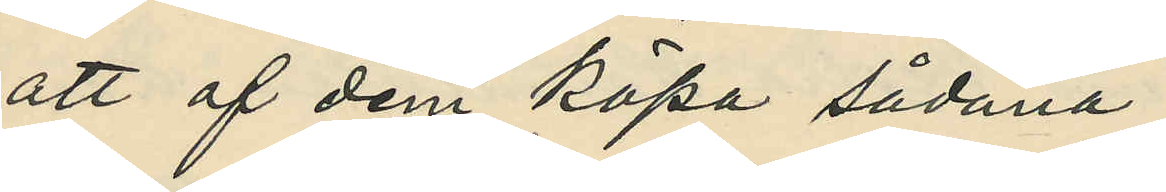att af dem köpa sådana;
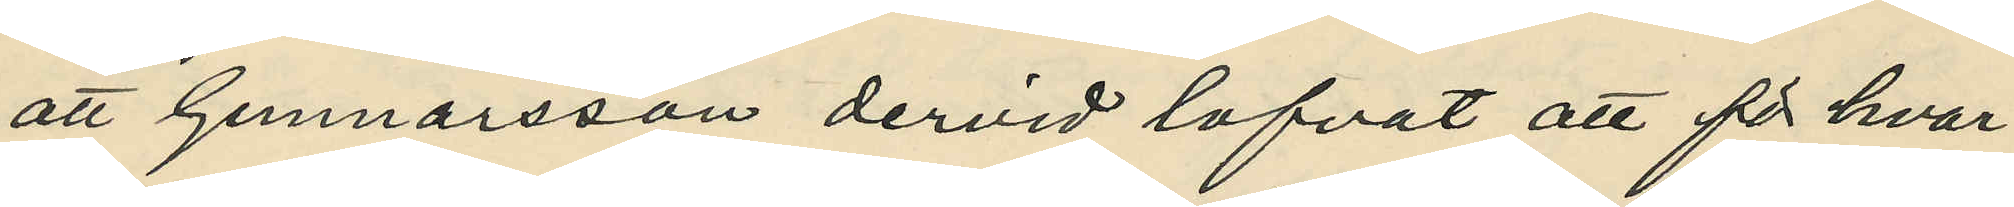att Gunnarsson dervid lofvat att för hvar¬
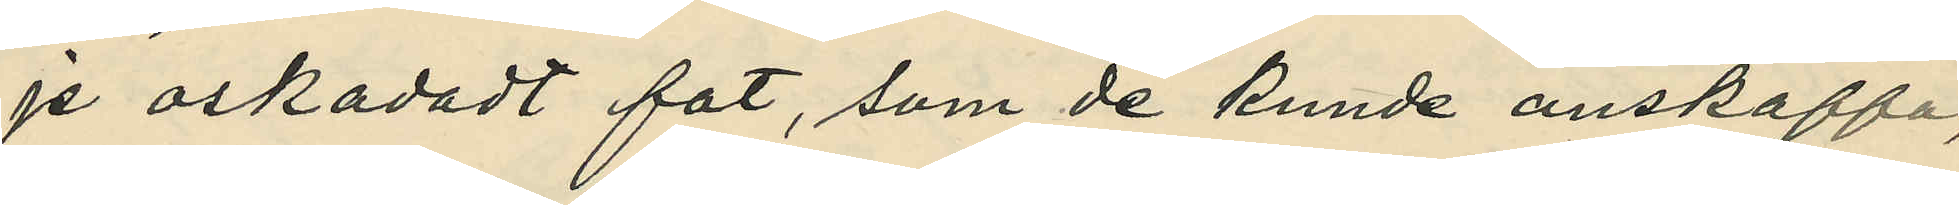je oskadat fat, som de kunde anskaffa,
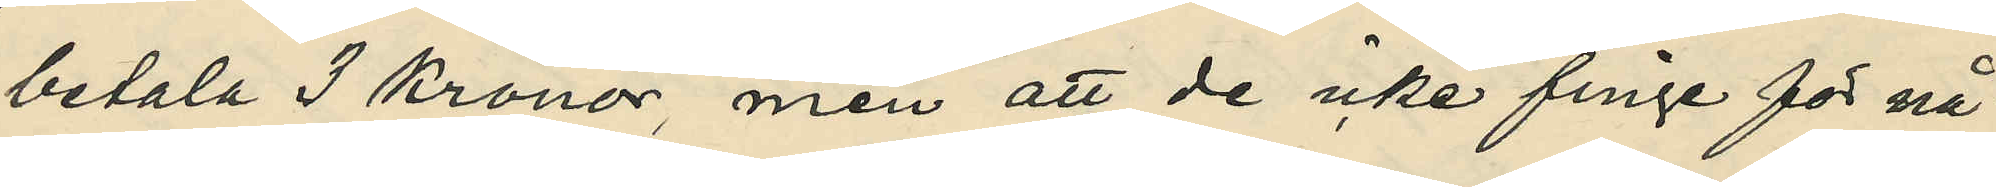betala 3 kronor men att de icke finge för nå¬
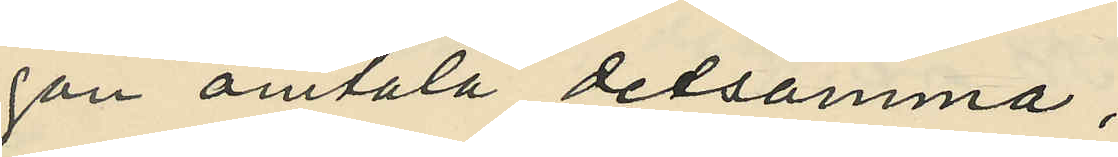gon omtala detsamma;
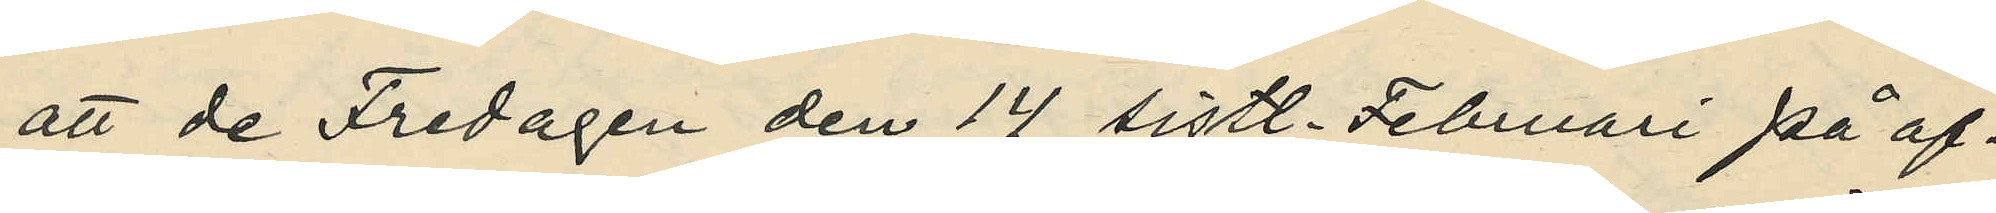att de Fredagen den 14 sistl. Februari på af¬
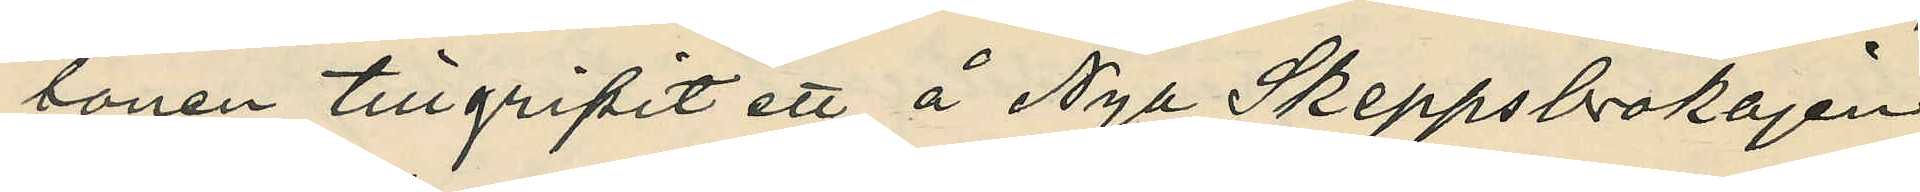tonen tillgripit ett å Nya Skeppsbrokajen
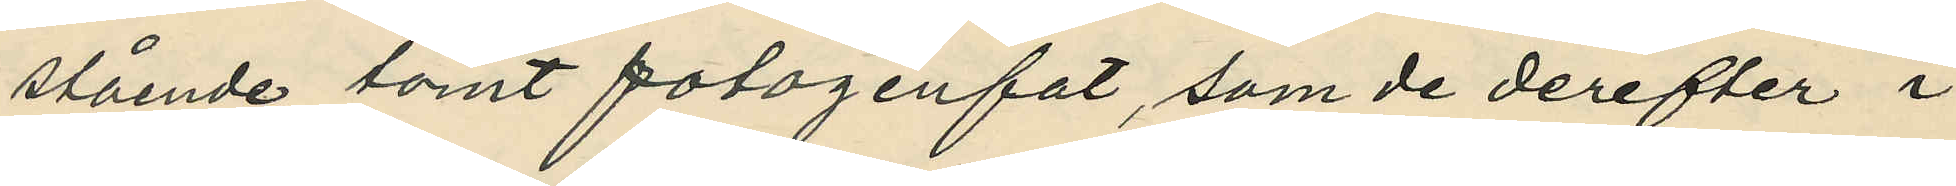stående tomt fotogenfat, som de derefter i 
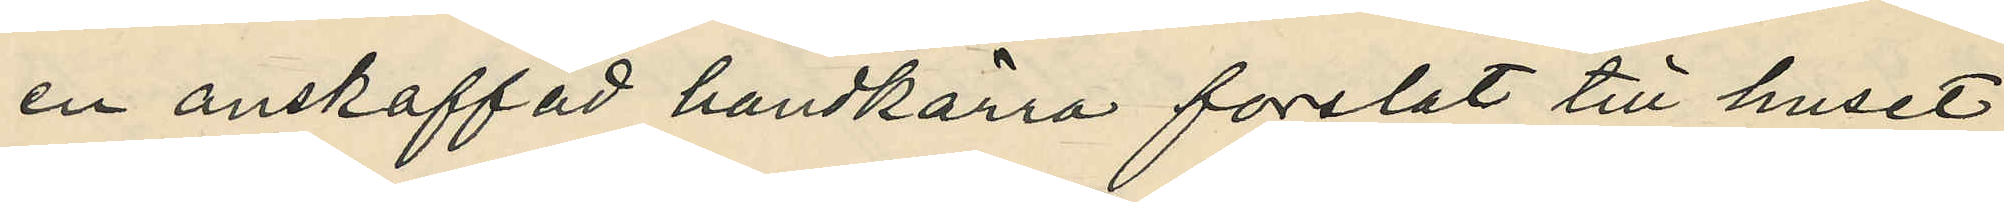en anskaffad handkärra forslat till huset
